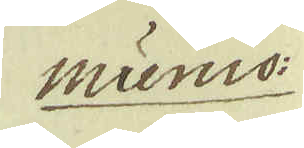munio:
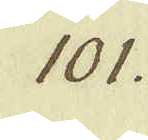101.
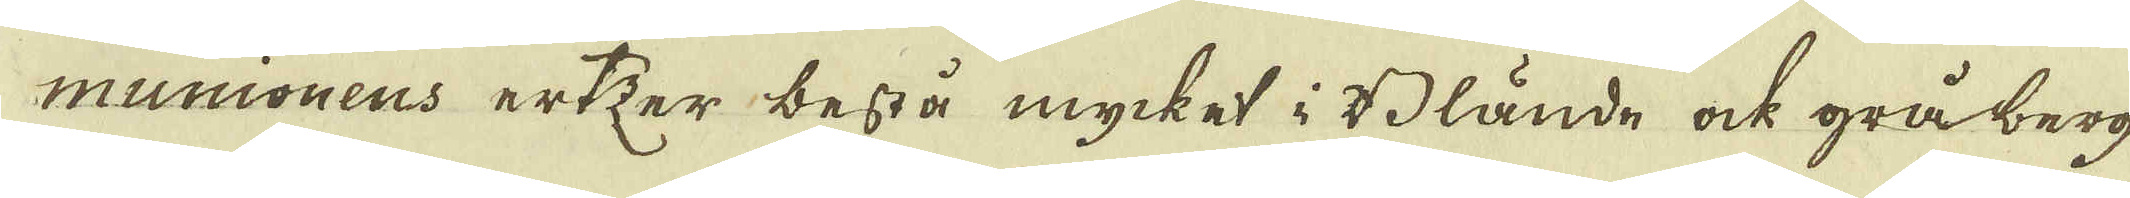munionens ertzer bestå mycket i Blände ock gråberg
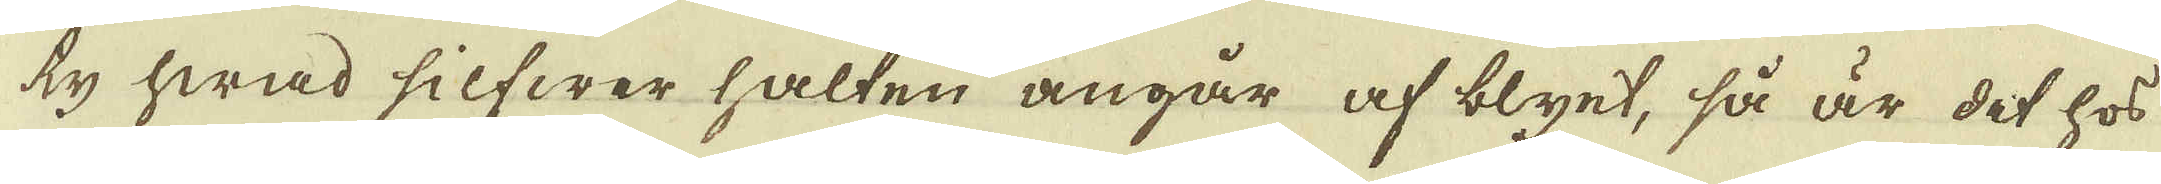ty hwad silfwer halten angår af blyet, så är det hos
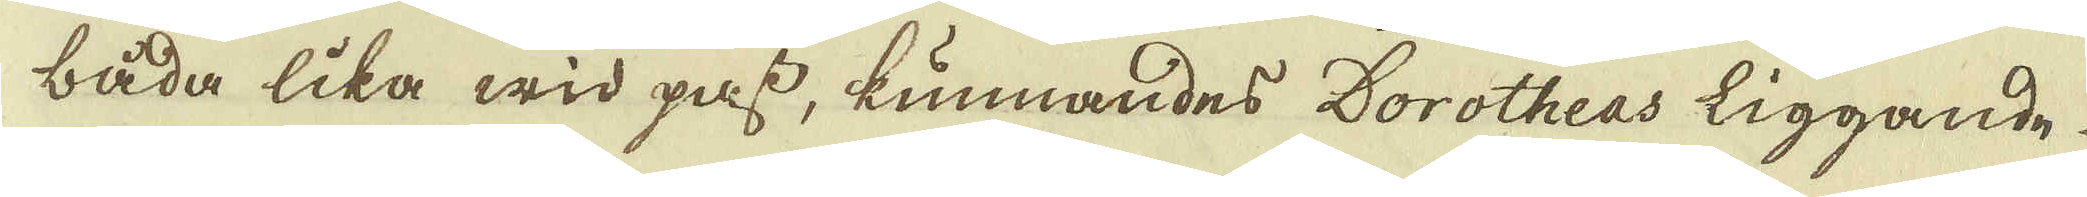båda lika wid pass, kunnandes Dorotheas liggande
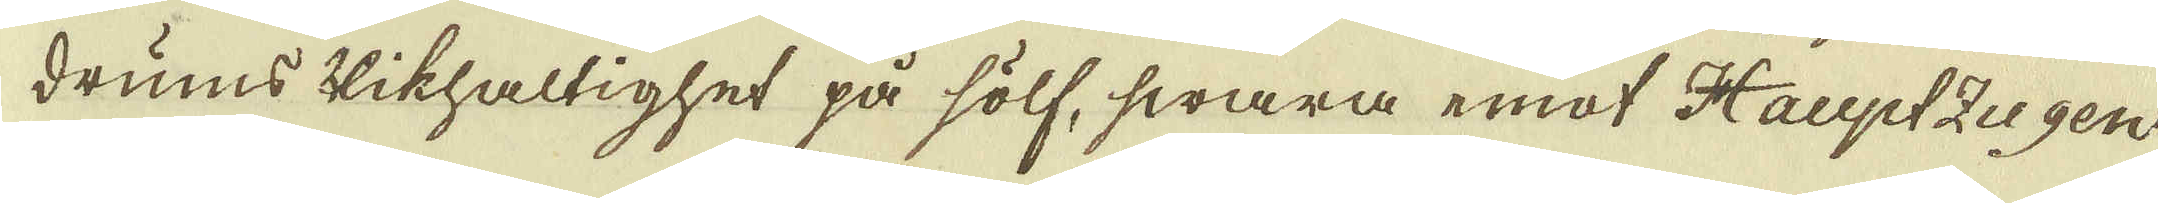drums Rikhaltighet på sölf, swara emot Hauptzugen
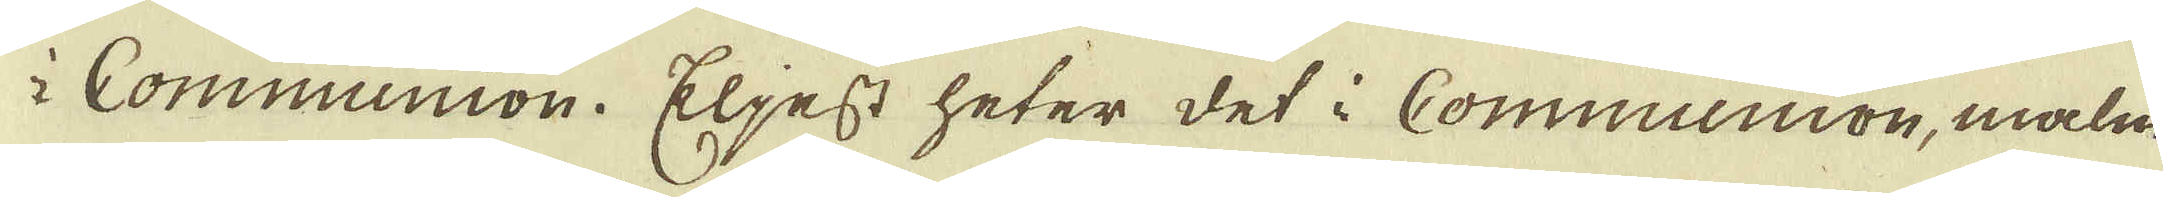i Communion. Eljest heter det i Communion, malm
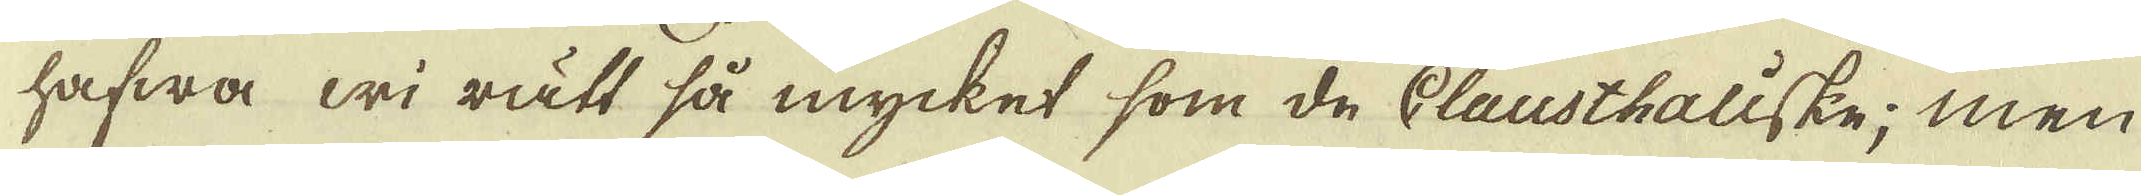hafwa wi rätt så mycket som de Clausthaliske; men
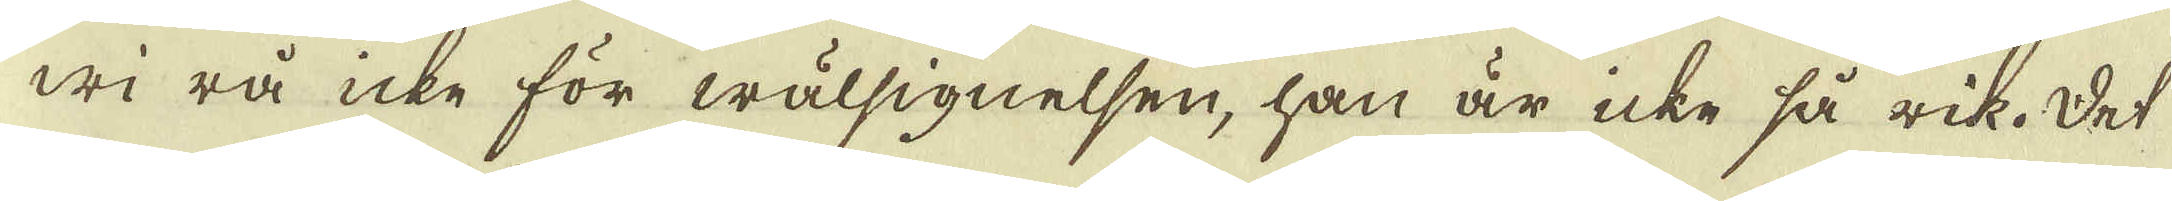wi rå icke för wälsignelsen, han är icke så rik. Det
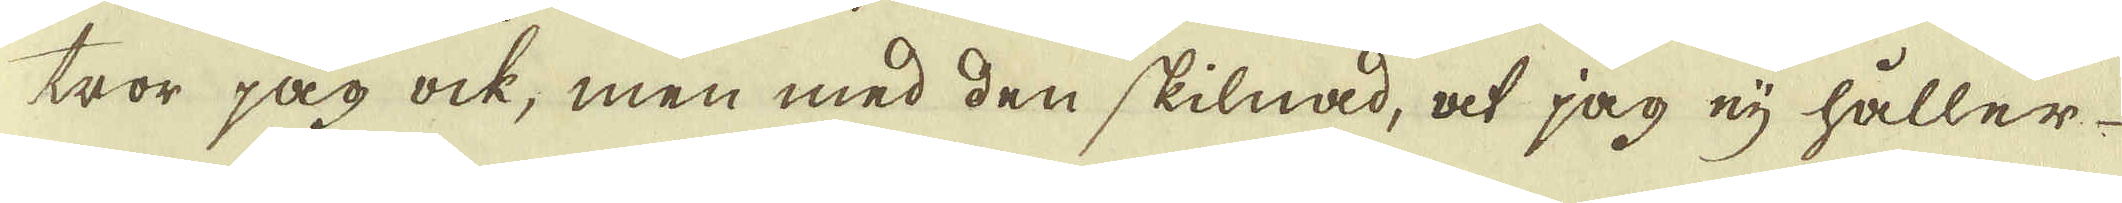tror jag ock, men med den skilnad, at jag eij håller
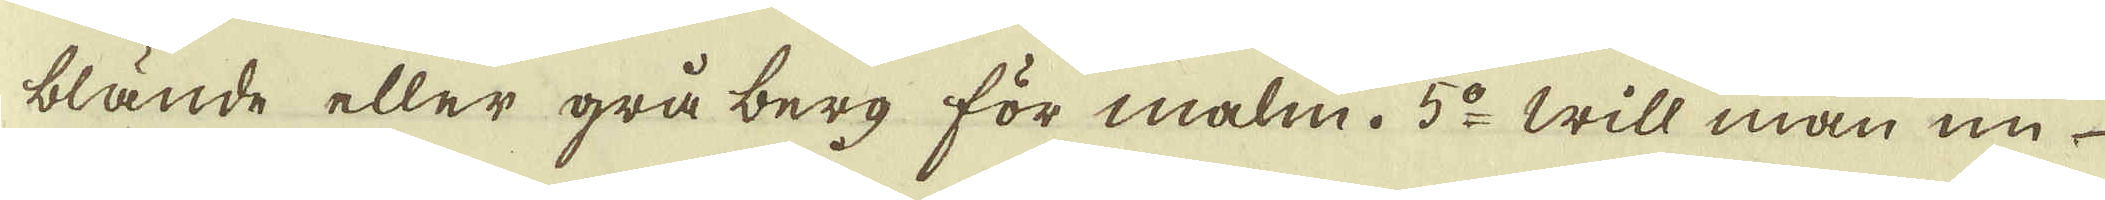blände eller grå berg för malm. 5:o Will man nu
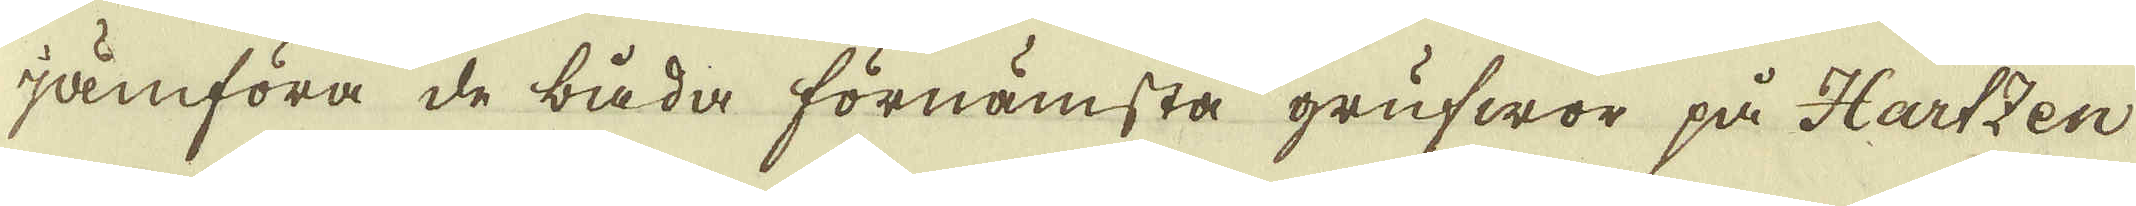jamföra de båda förnämsta grufwor på Hartzen
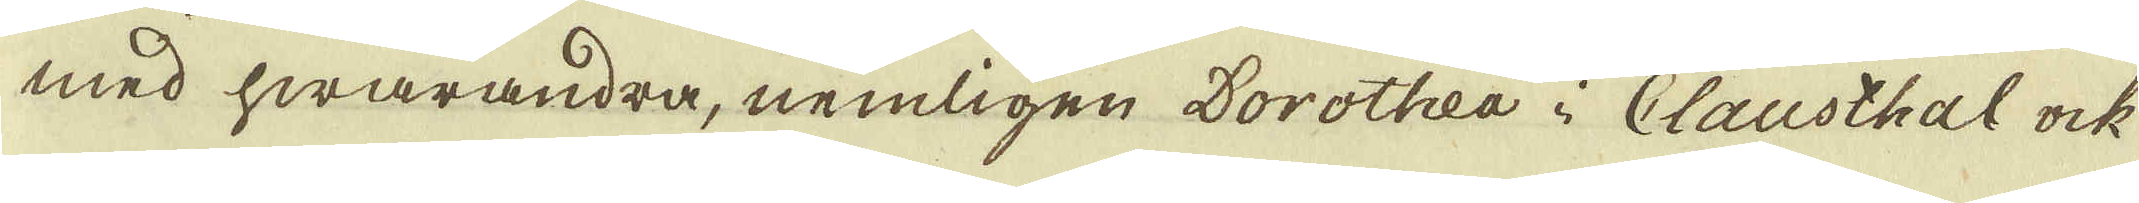med hwarandra, nemligen Dorothea i Clausthal ock
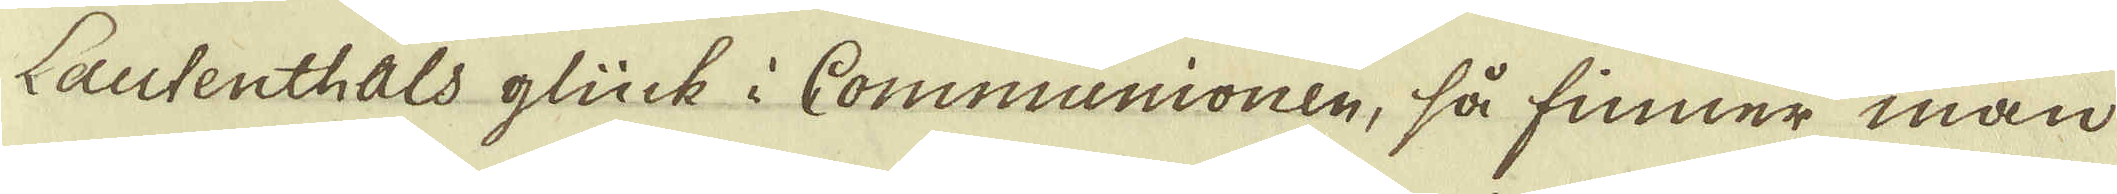Lautenthals glück i Communionen, så finner man
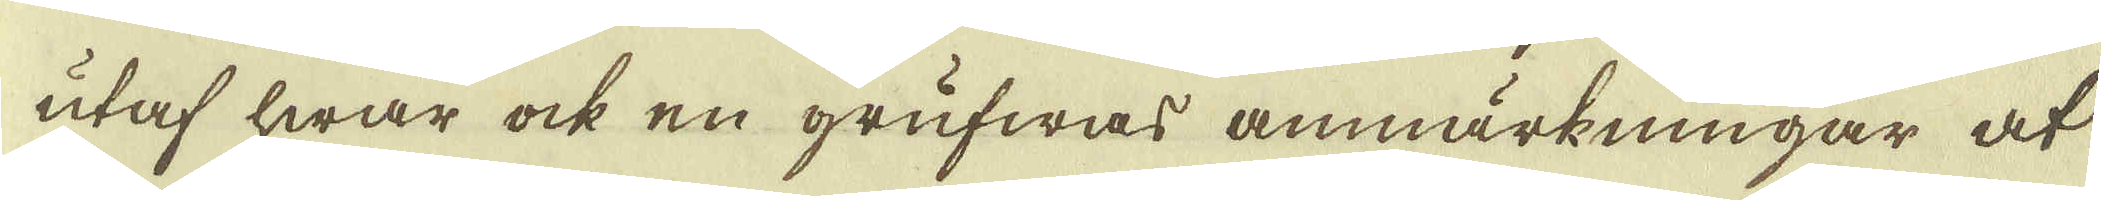utaf hwar ock en grufwas anmärkningar at
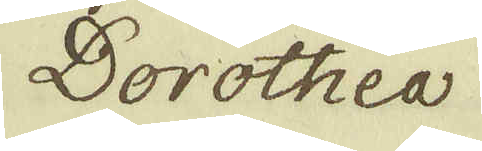Dorothea
